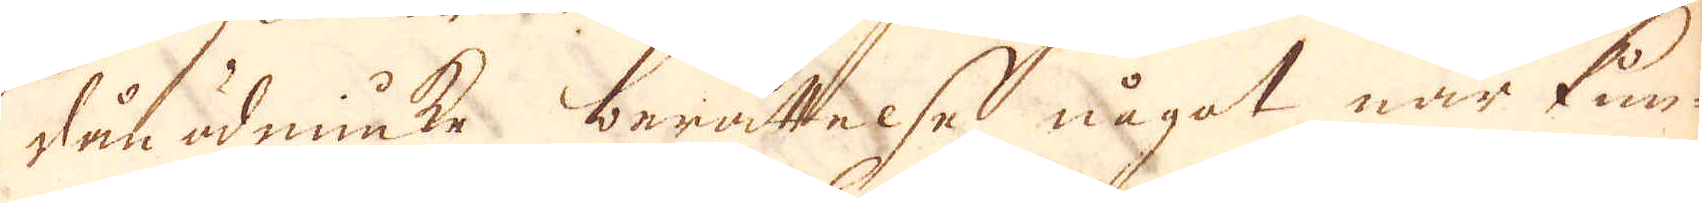dån ödmiuke berättelse något när kun-
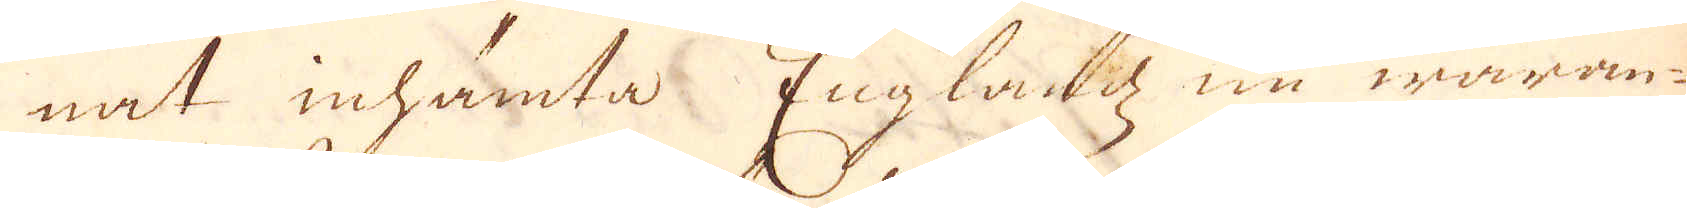nat inhämta Englandz nu waran-
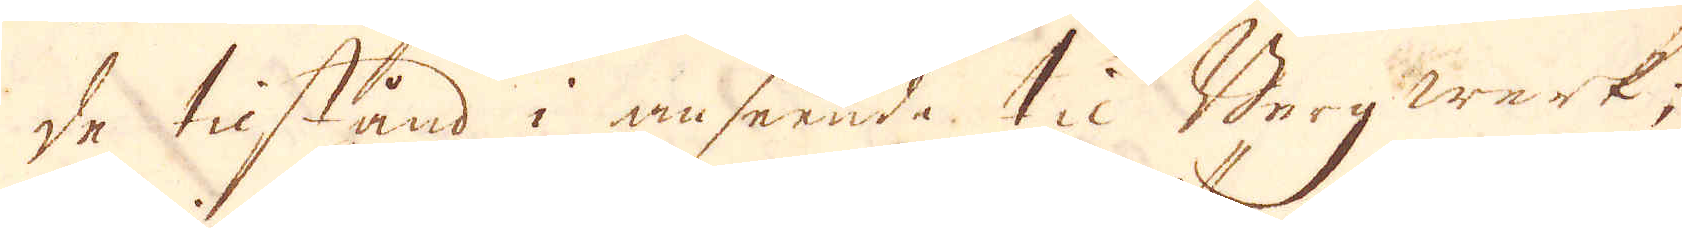de tilstånd i anseende til Bergwärk,
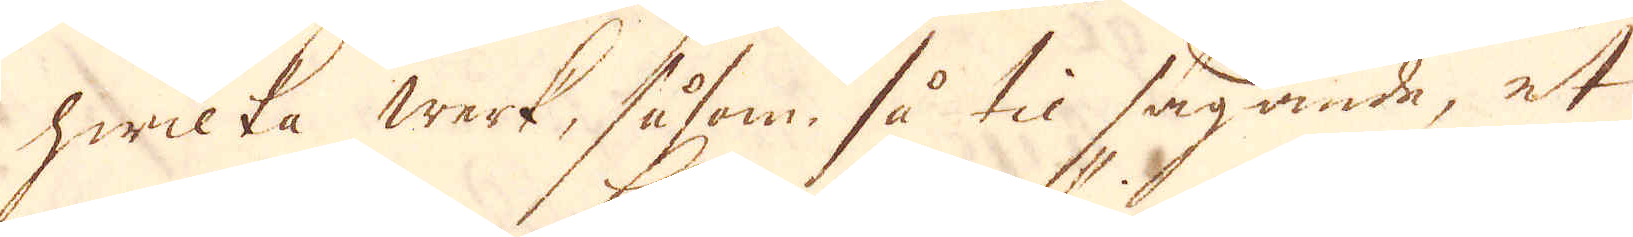hwilka werk, såsom så til sägande, et
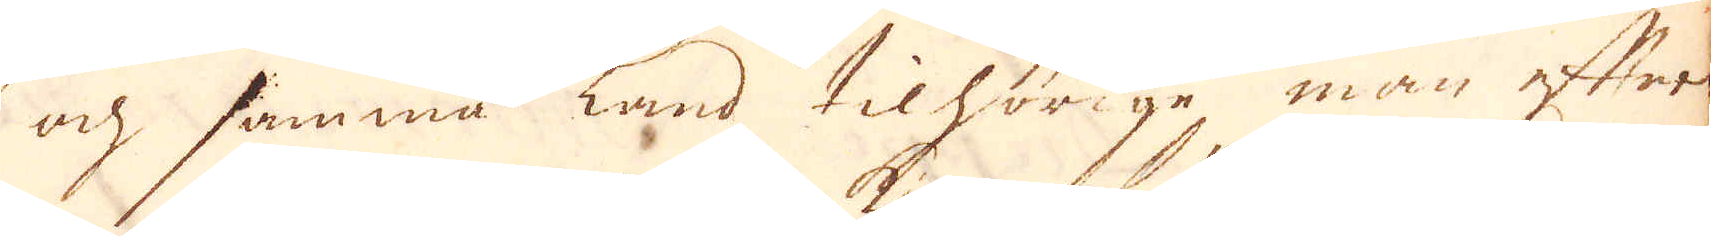och samma land tilhörige, man efter
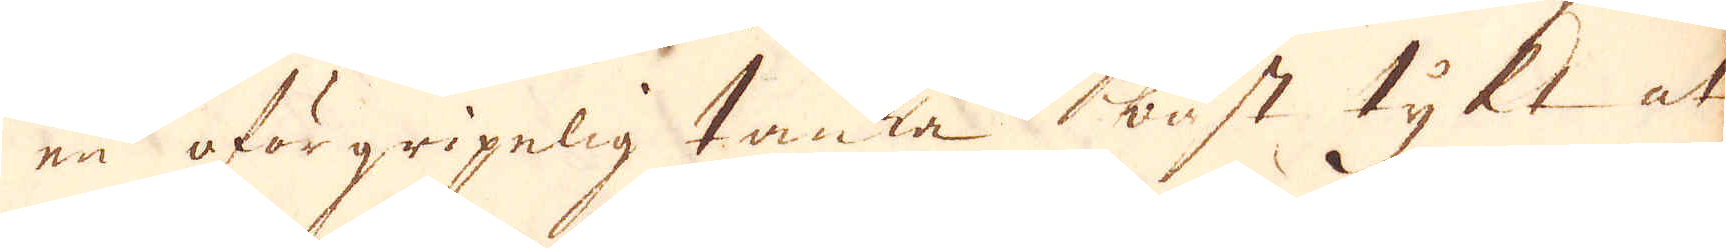en eftergripelig tanka bäst tykt at
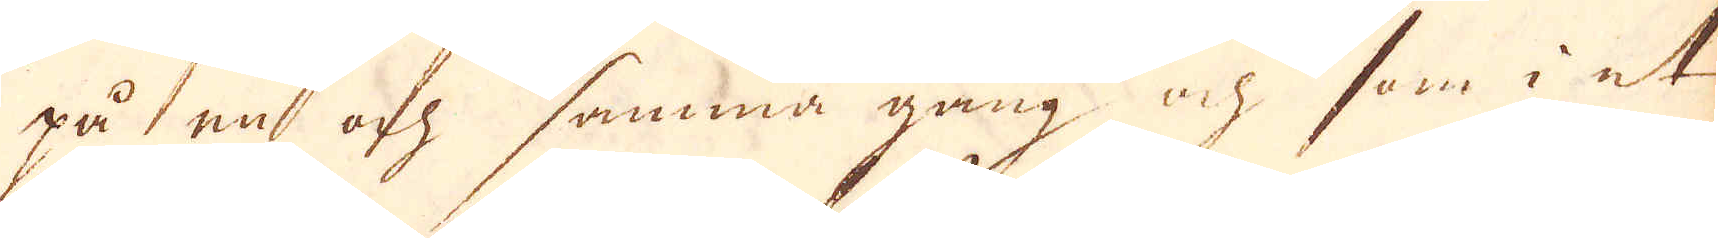på en och samma gång och som i et
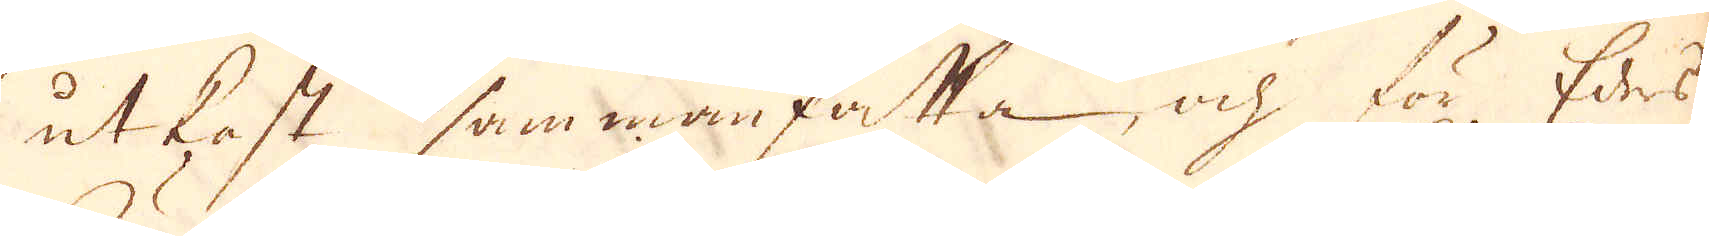utkast sammanfatta, och för Edes
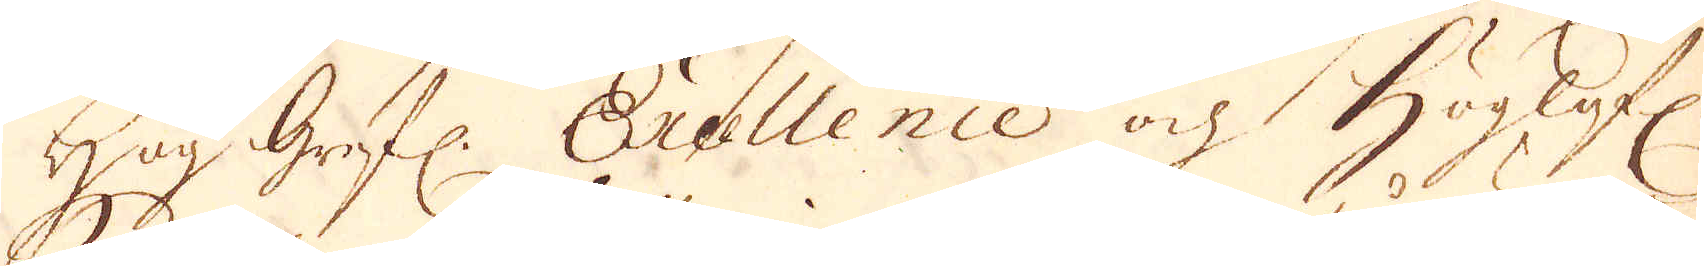Hög Grefl: Excellence och Höglofl:
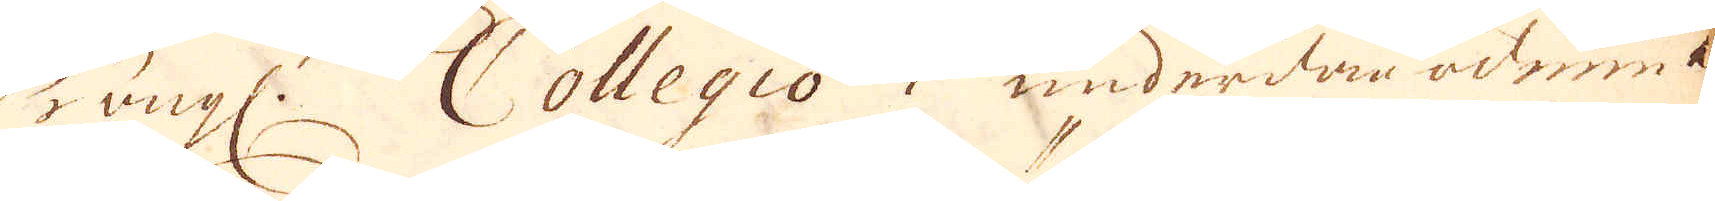Kongl: Collegio i underdån-ödmiuk-
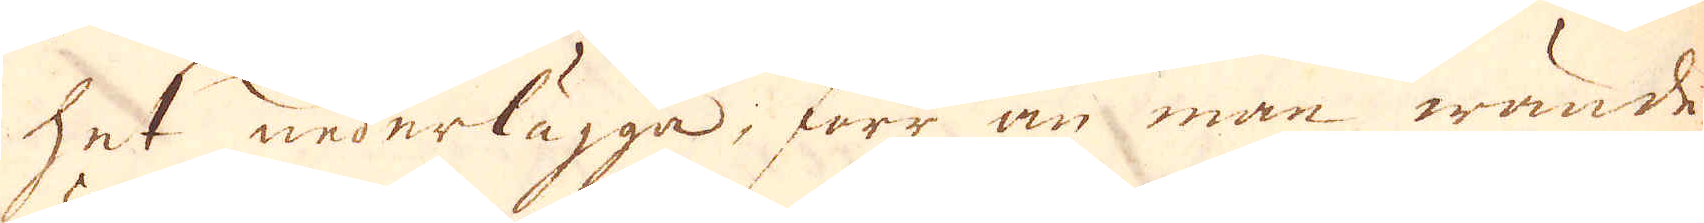het nederlägga; förr än man wände
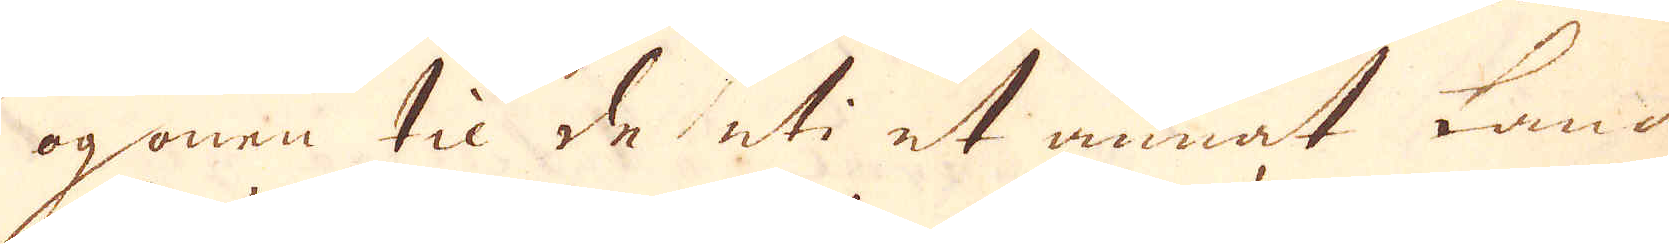ögonen til de uti et annat Land
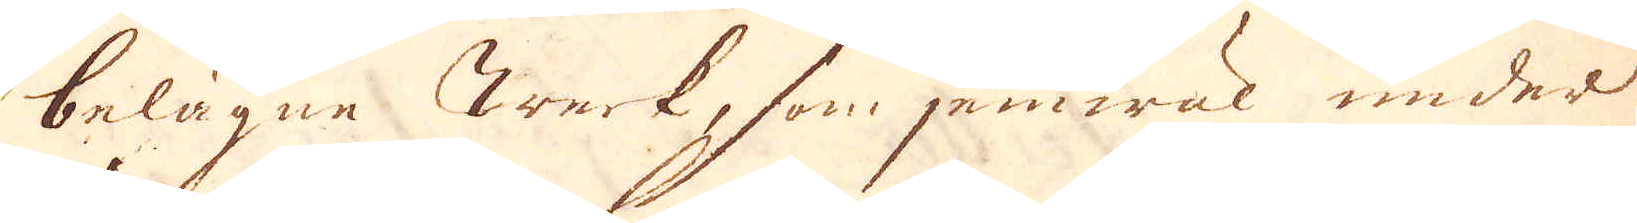belägne werk, som jämwäl under
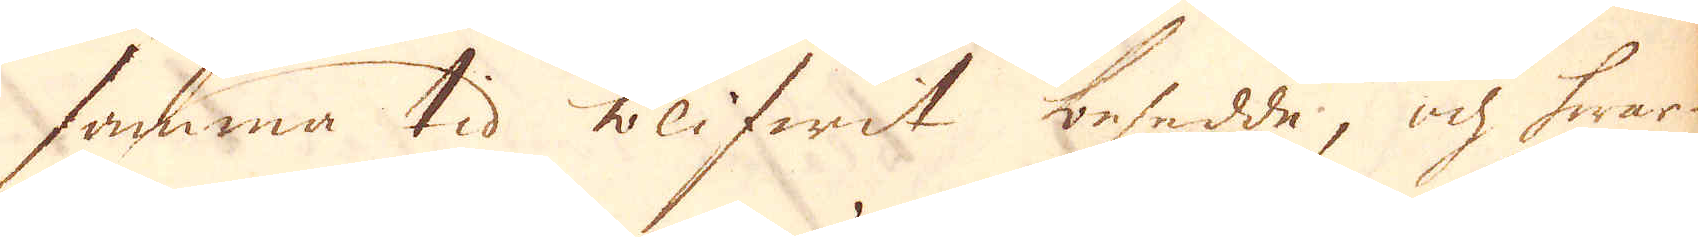samma tid blifwit besedde, ok hwar-
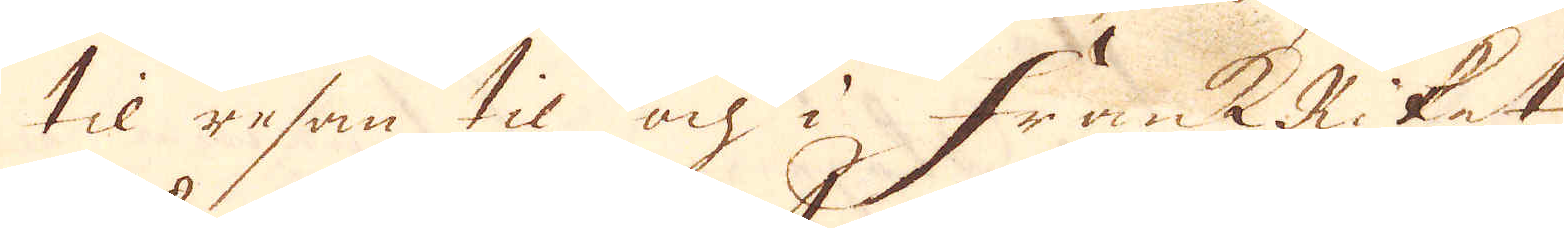til resan til och i FrankRiket
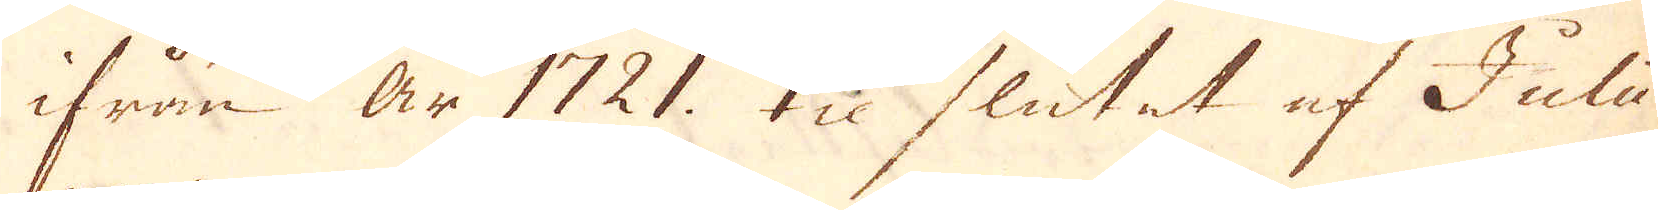ifrån år 1721 til slutet af Julii
